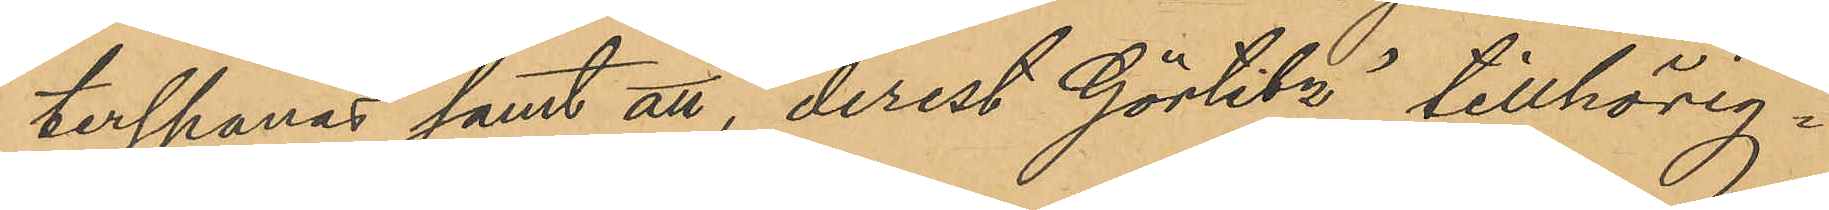terspanas samt att, derest Görlitz´ tillhörig¬
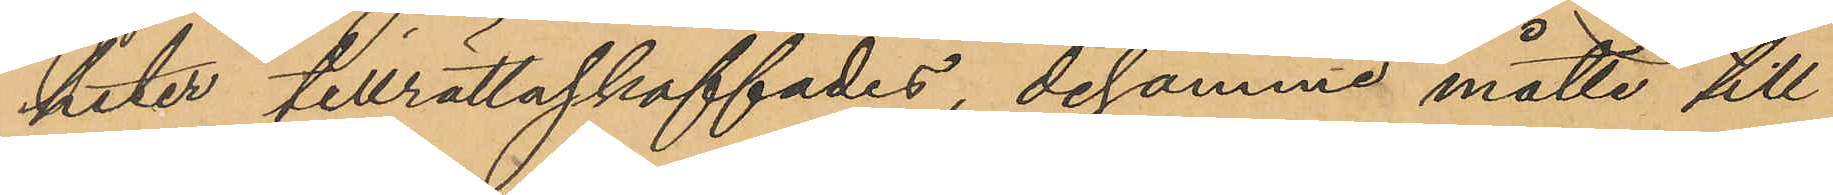heter tillrättaskaffades, desamme måtte till
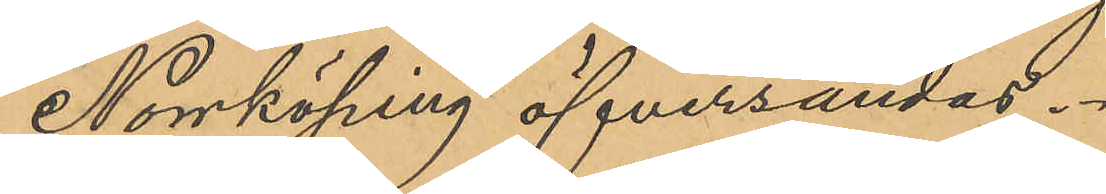Norrköping öfversändas.
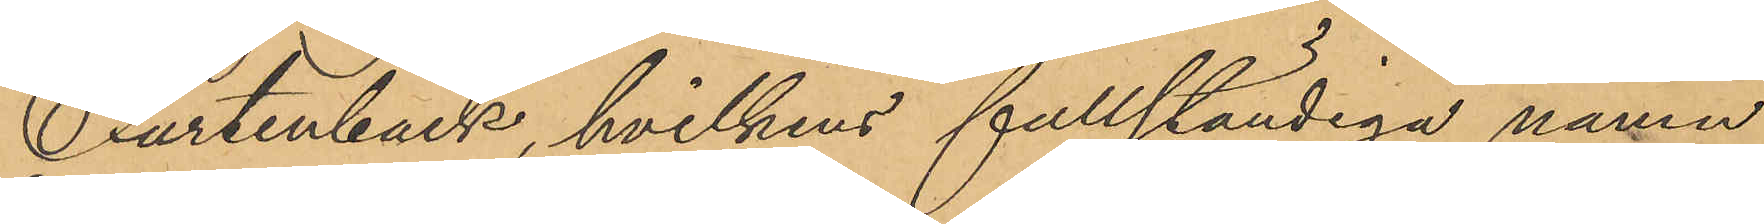Furtenback, hvilkens fullständiga namn
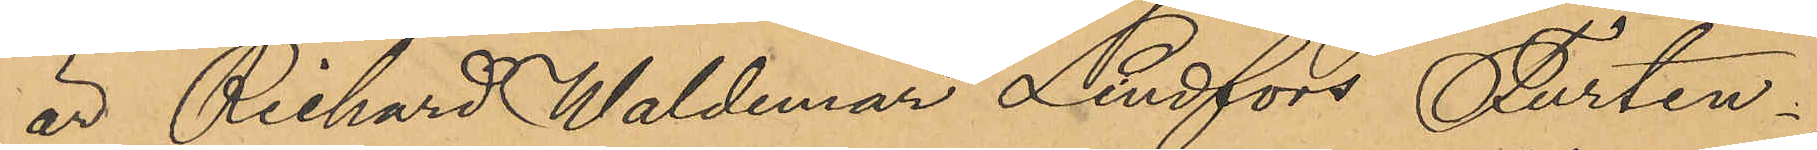är Richard Waldemar Lindfors Furten¬
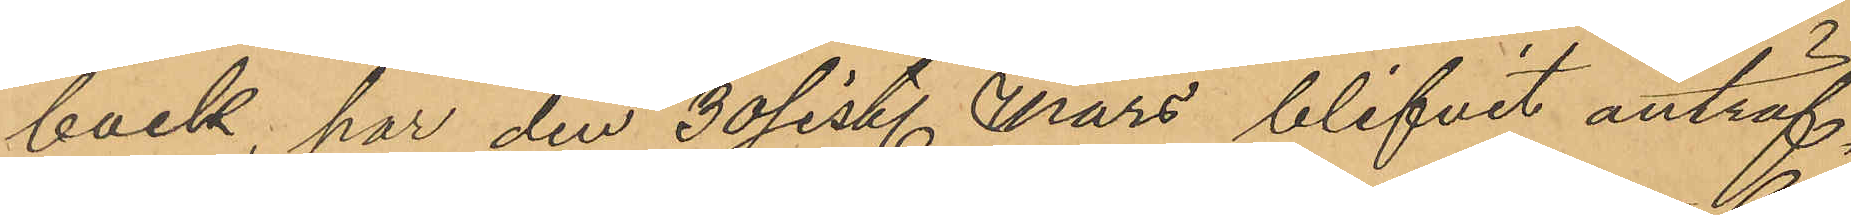back, har den 30 sist. Mars blifvit anträf¬
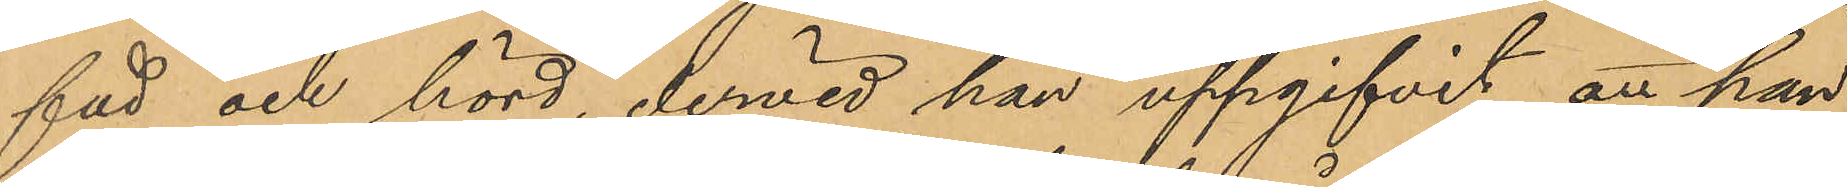fad och hörd, dervid han uppgifvit att han
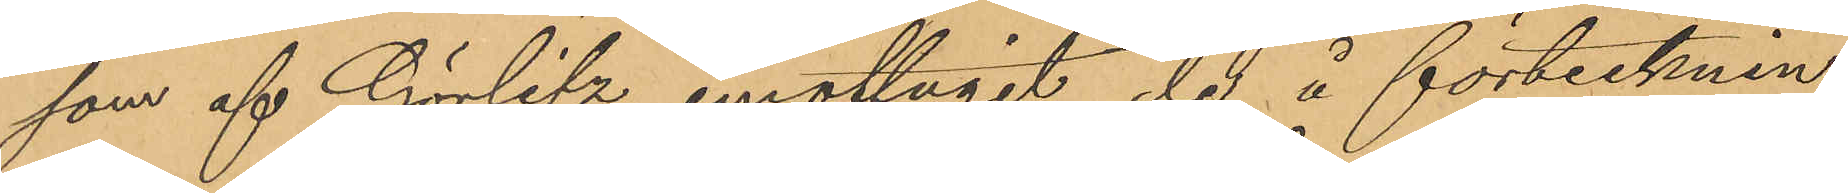som af Görlitz emottagit de å förtecknin¬
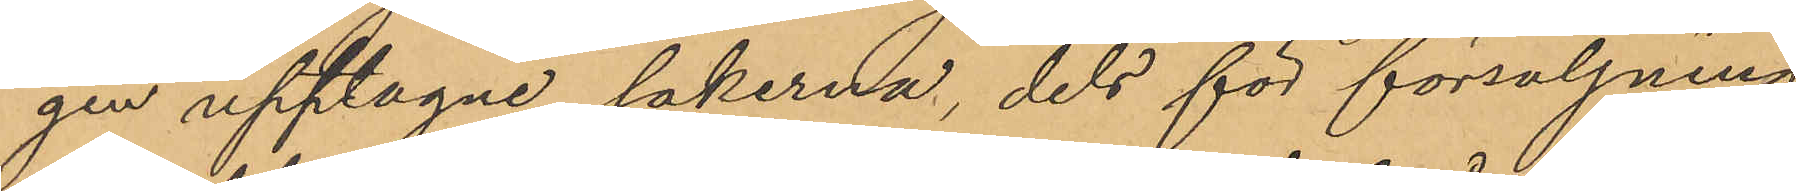gen upptagne sakerna, dels för försäljning
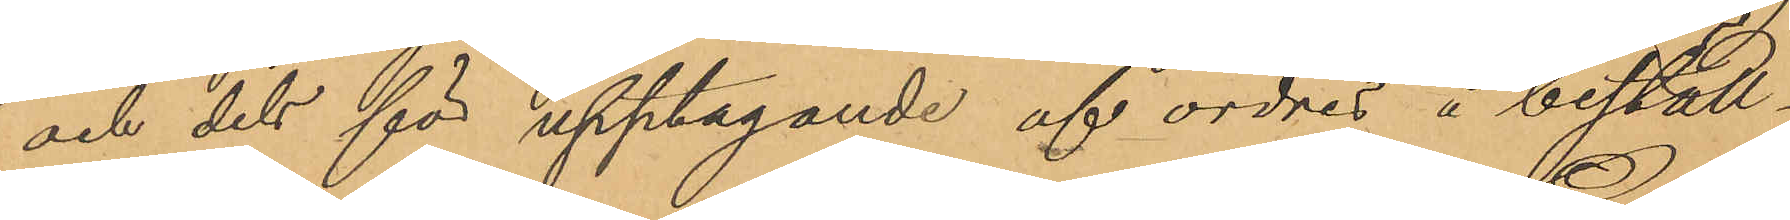och dels för upptagande af ordres å beställ¬
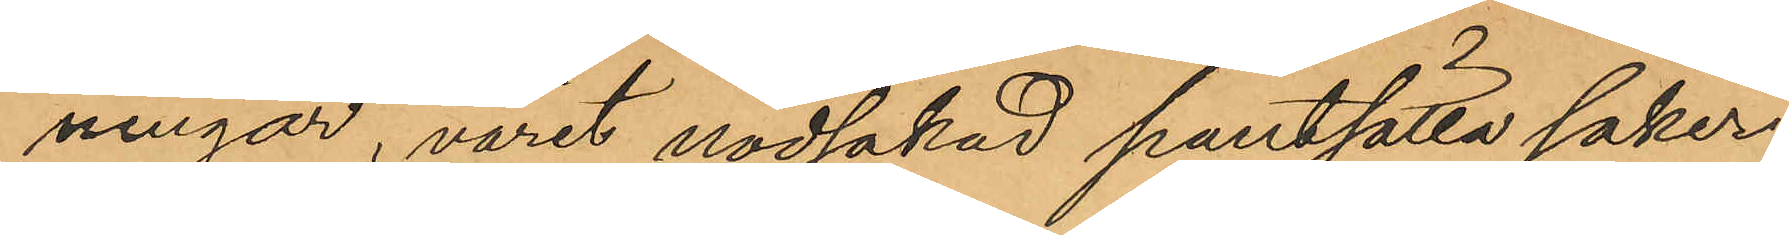ningar, varit nödsakad pantsätta saker¬
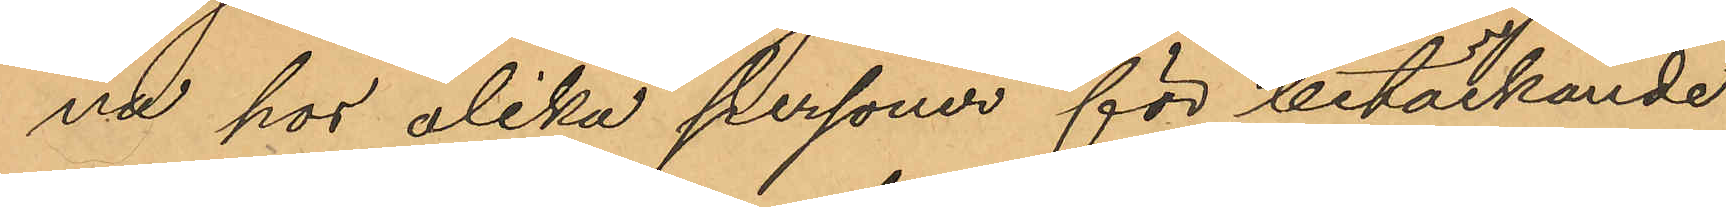na hos olika personer för betäckande
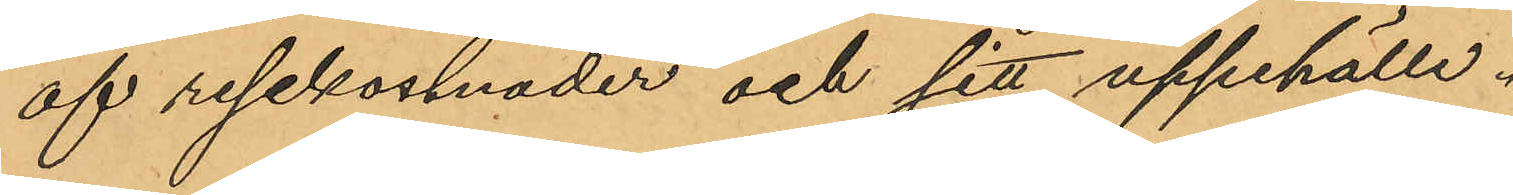af resekostnader och sitt uppehälle.
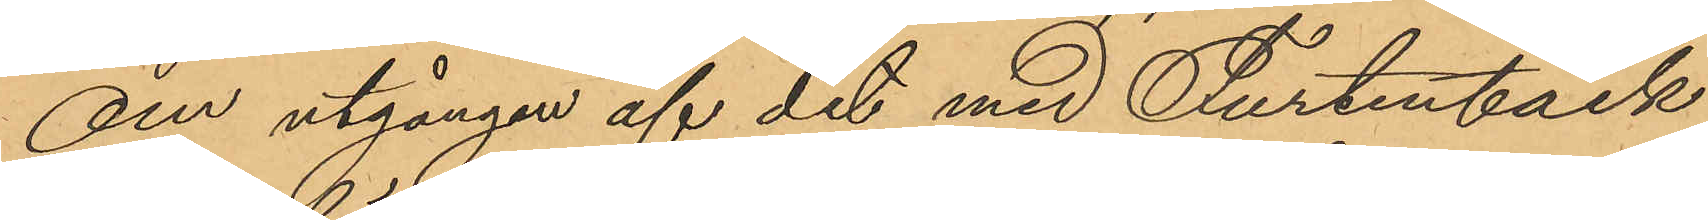Om utgången af det med Furtenback
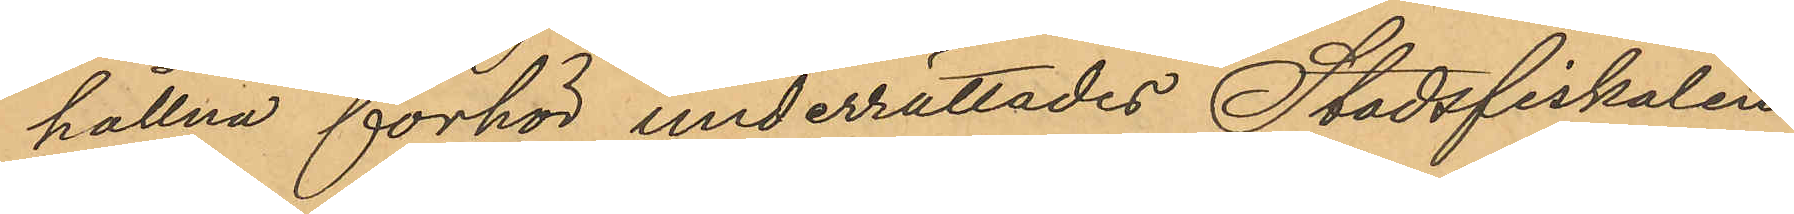hållna förhör underrättades Stadsfiskalen
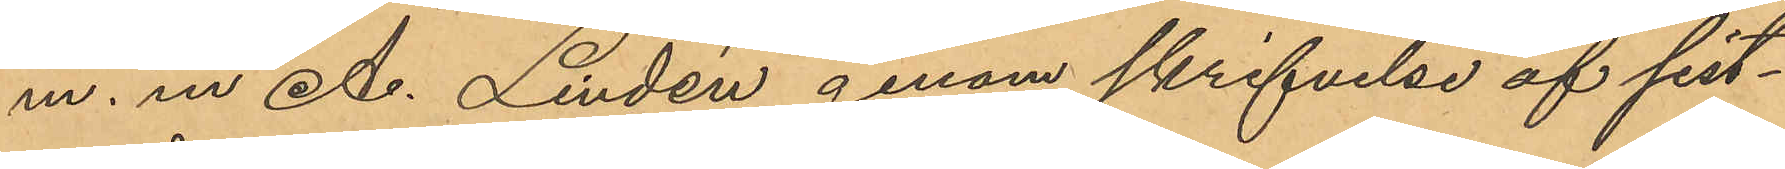m. m.  A. Lindén genom skrifvelse af sist¬
